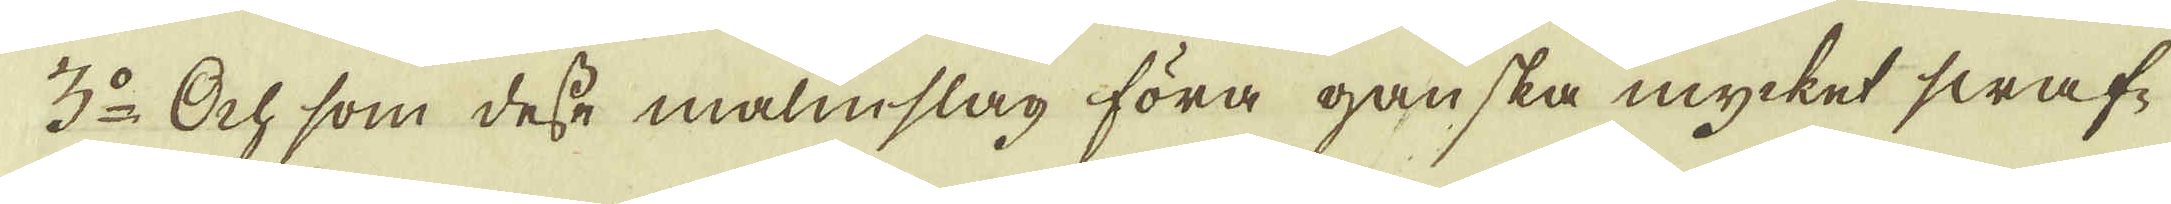3:o Och som desse malmslag föra ganska mycket swaf-
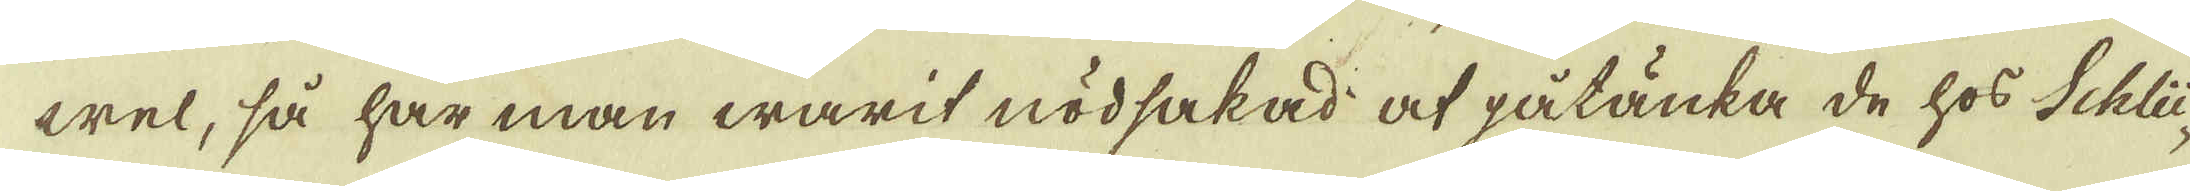wel, så har man warit nödsakad at påtänka de hos Schlü-
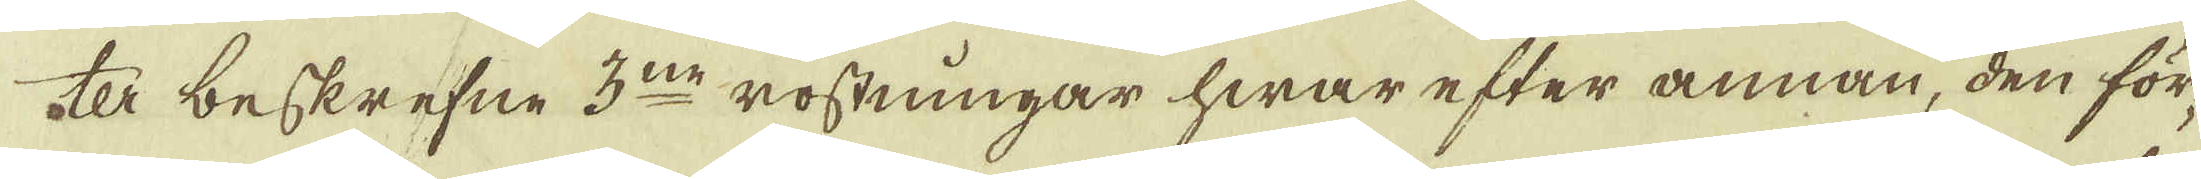ter beskrefne 3:ne rostningar hwar efter annan, den för-
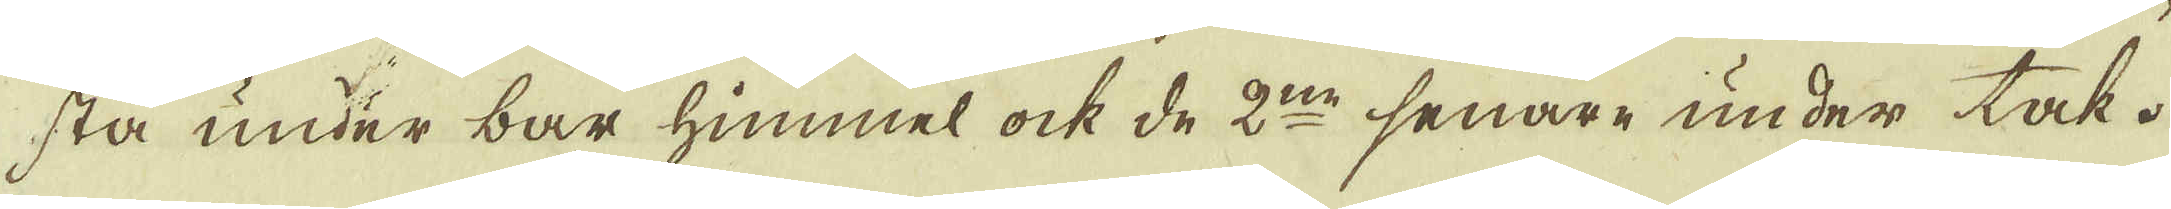sta under bar himmel ock de 2:ne senare under tak.
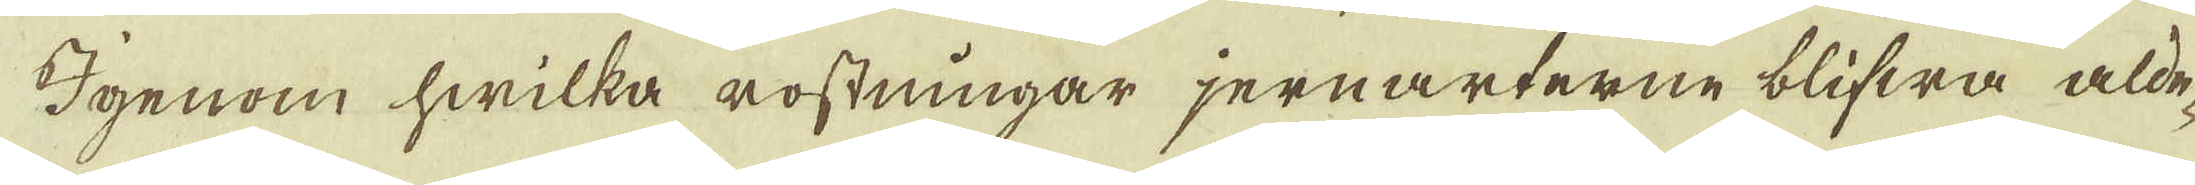Igenom hwilka rostningar jernarterne blifwa alde-
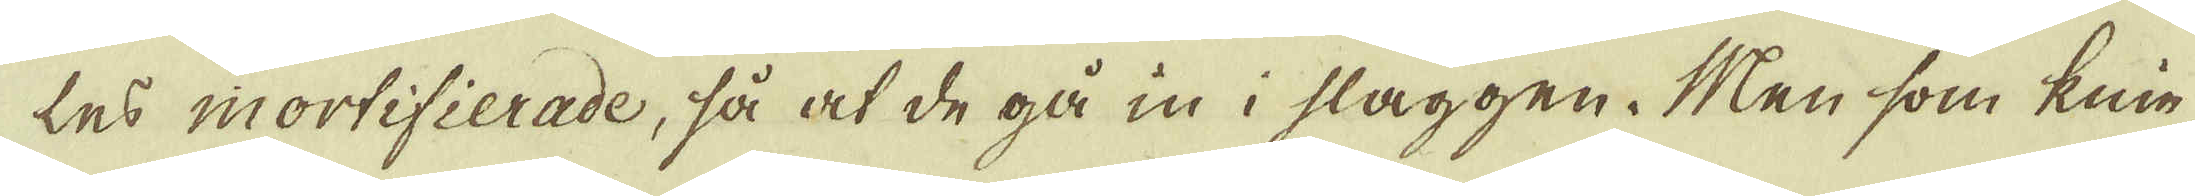les mortifierade, så at de gå in i slaggen. Men som knie-
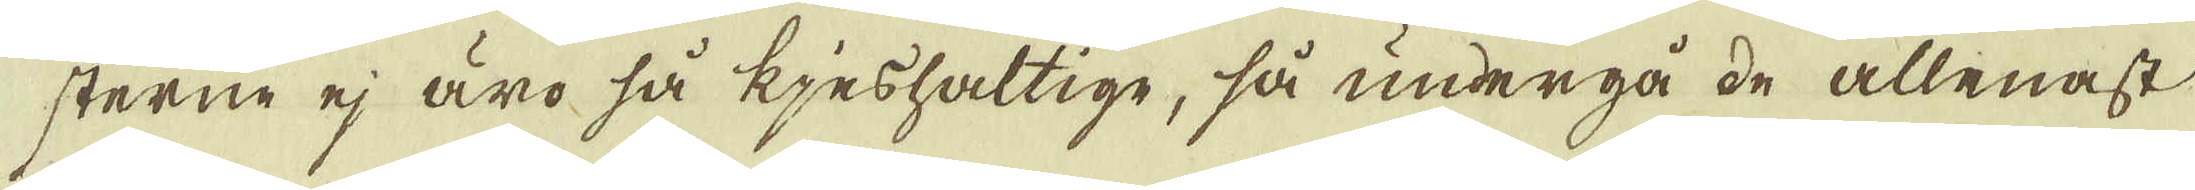sterne ej äro så kjeshaltige, så undergå de allenast
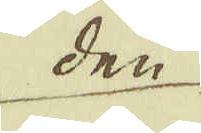den
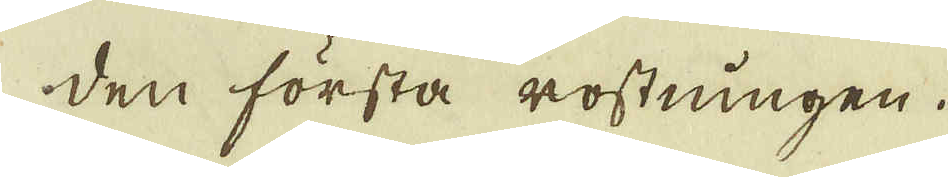den första rostningen.
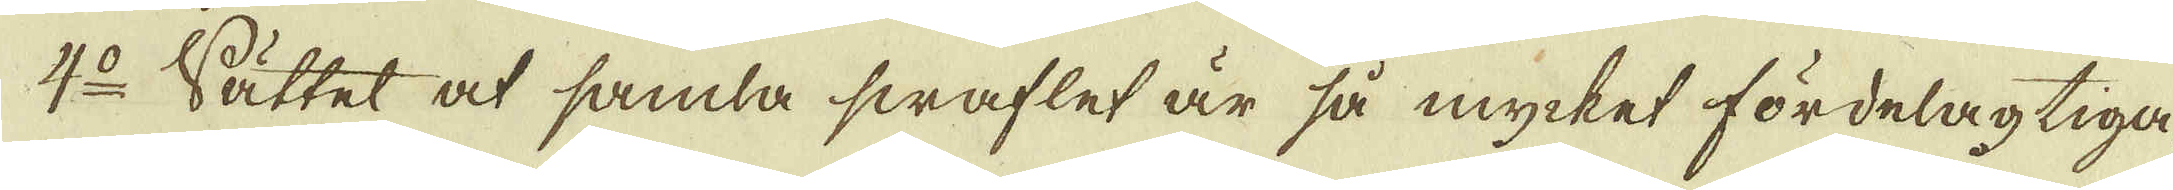4:o Sättet at samla swaflet är så mycket fördelagtiga-
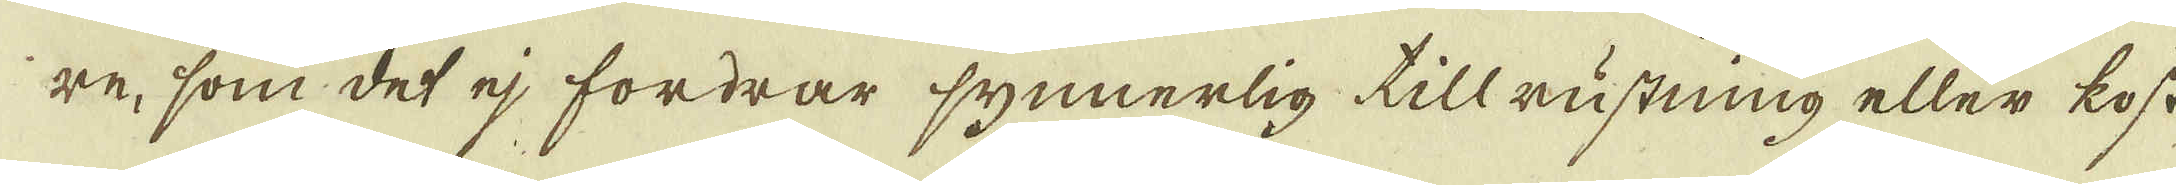re, som det ej fordrar synnerlig tillrustning eller kost-
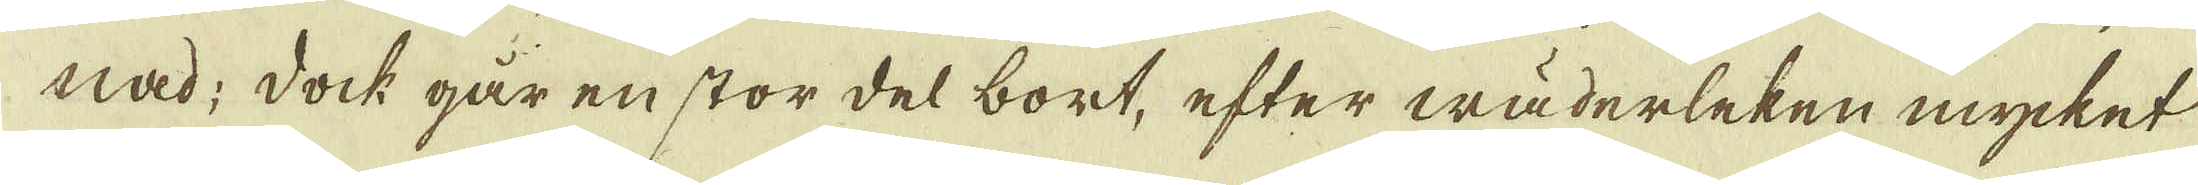nad; dock går en stor del bort, efter wäderleken mycket
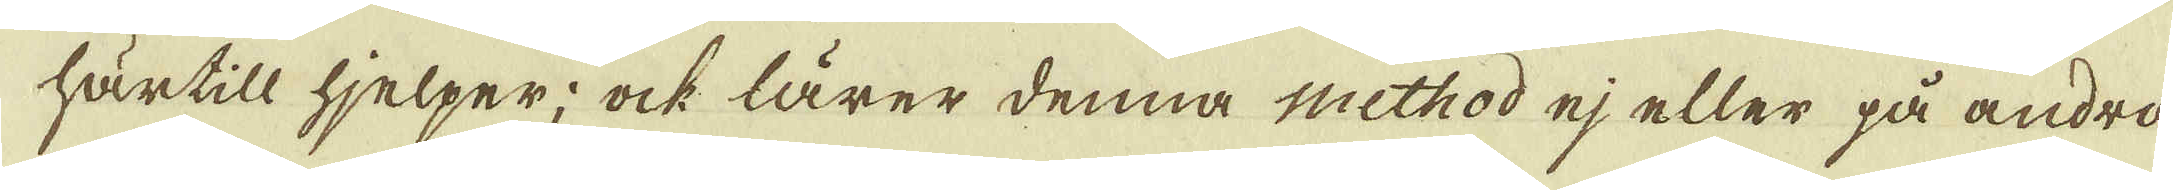härtill hjelper; ock lärer denna method ej eller på andra
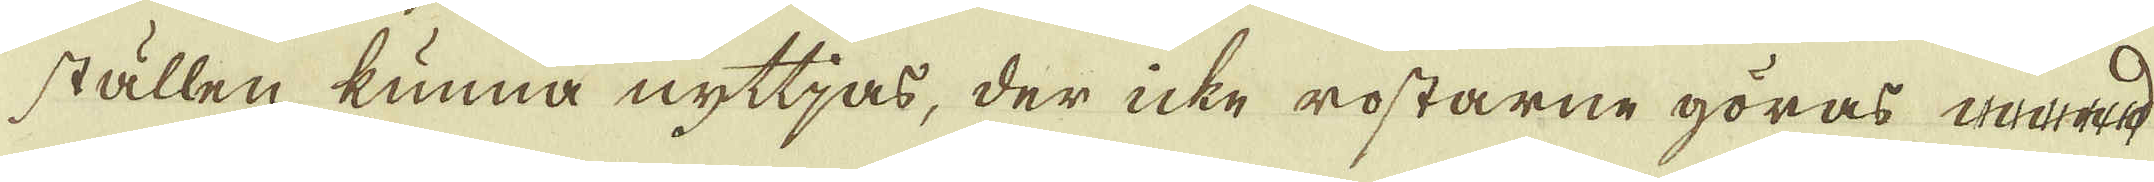ställen kunna nyttjas, der icke rostarne göras med
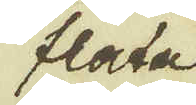flata
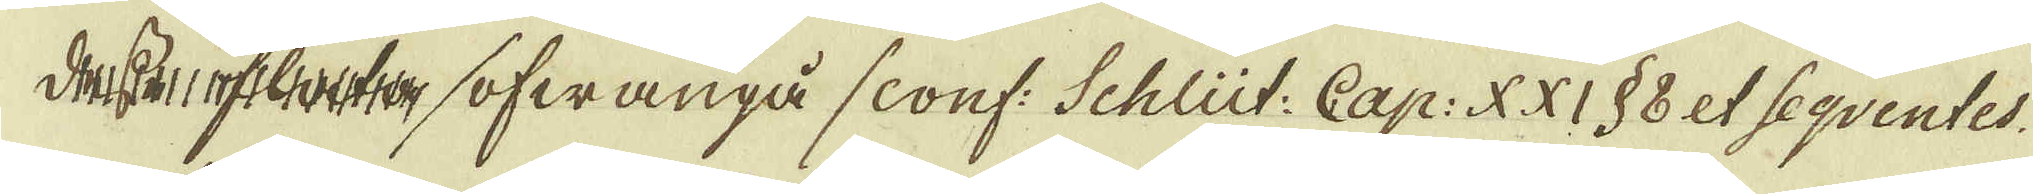desse flata /ofwanpå /conf: Schlüt. Cap: XXI § 8 et Seqventes.
